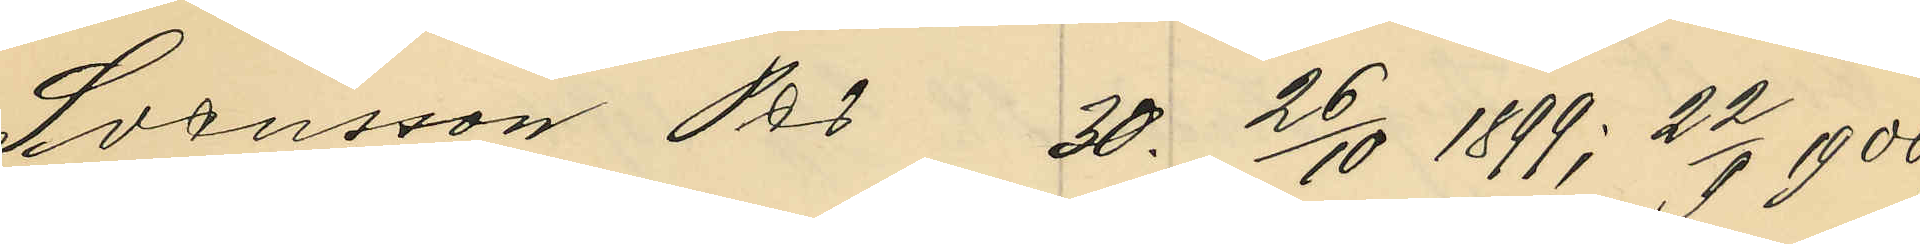Svensson Per 30. 26/10 1899; 22/9 1900;
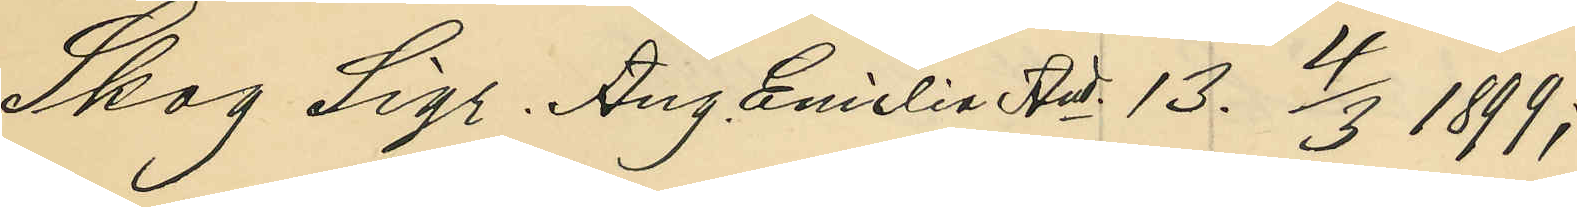Skog Sigr. Aug. Emilia And. 13. 4/3 1899;
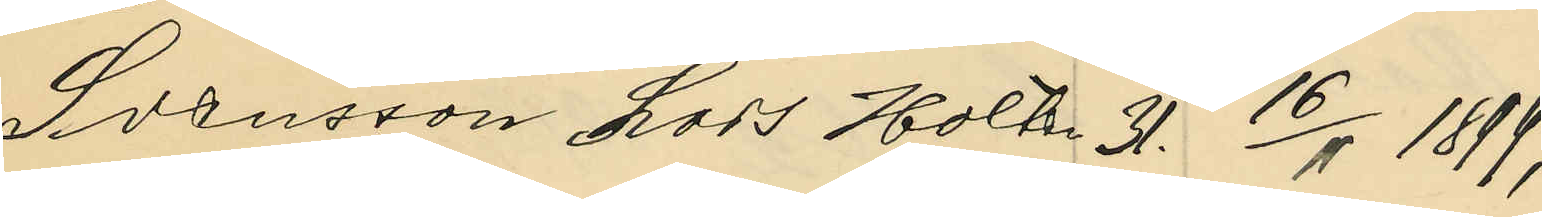Svensson Lars Holsten 31. 16/11 1899;
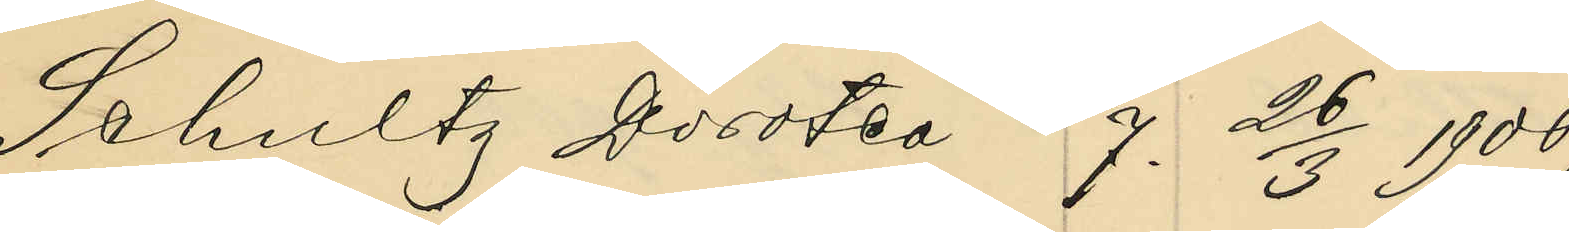Schultz Dorotea 7. 26/3 1900;
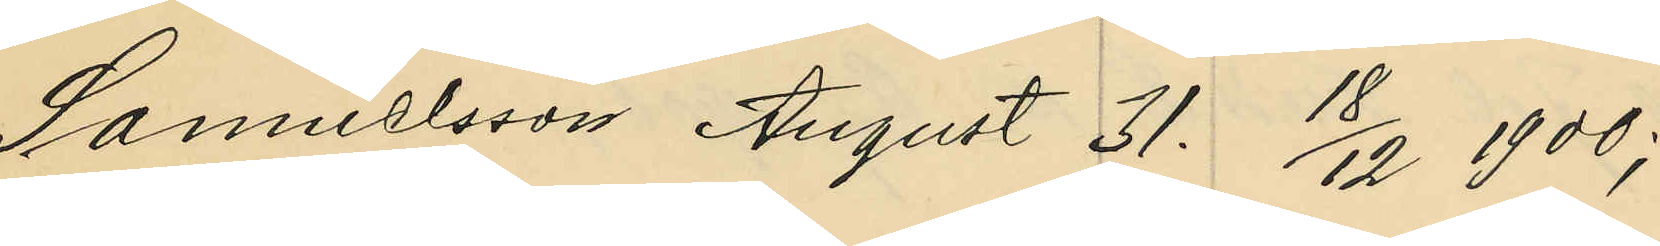Samuelsson August 31. 18/12 1900;
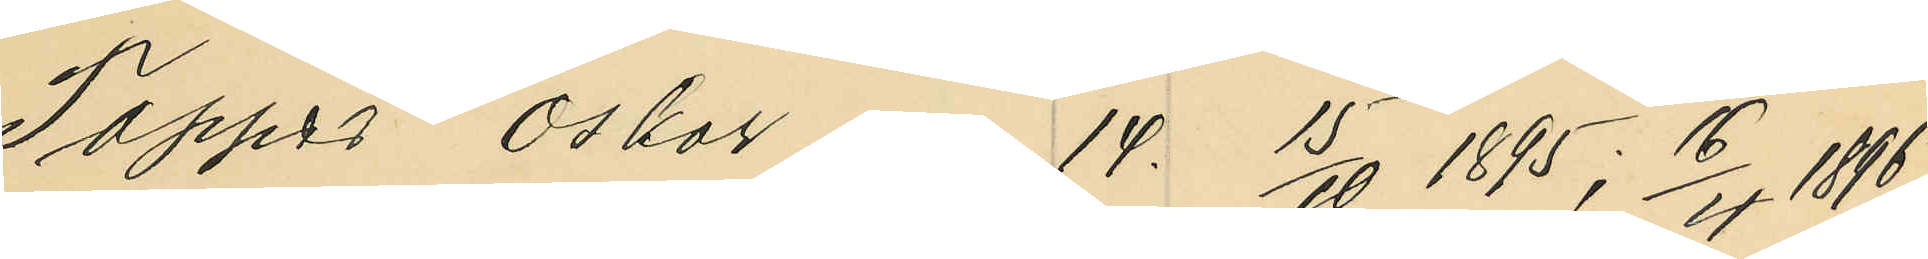Tapper Oskar  14. 15/10 1895; 16/4 1896;
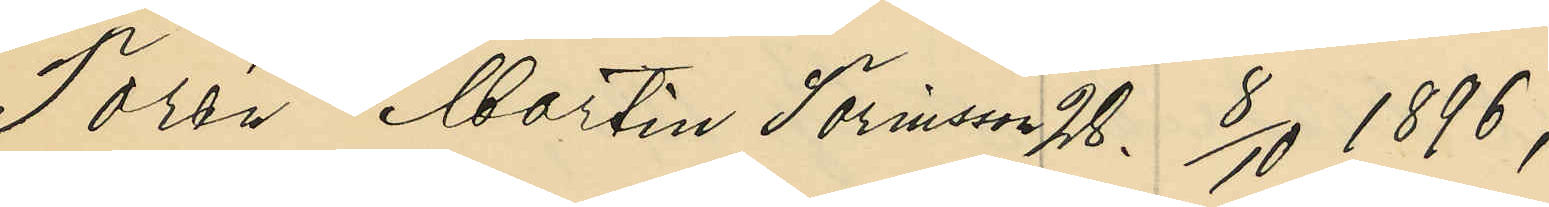Torén Martin Torinsson 28. 8/10 1896;
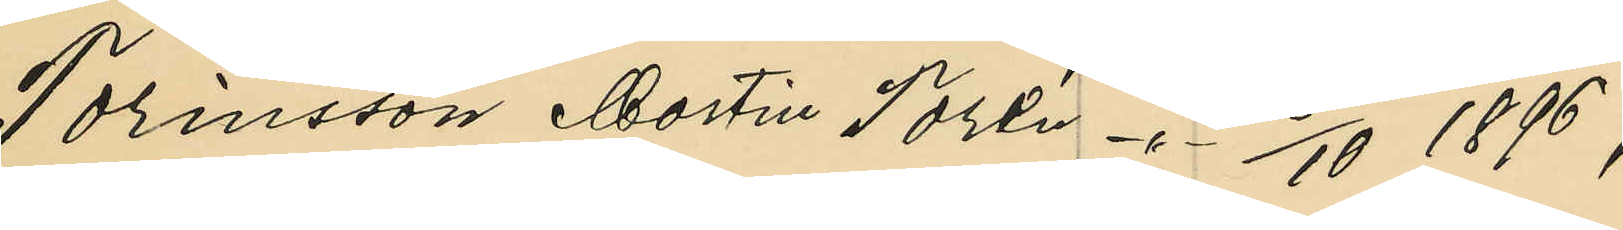Torinsson Martin Torén -"- 8/10 1896;
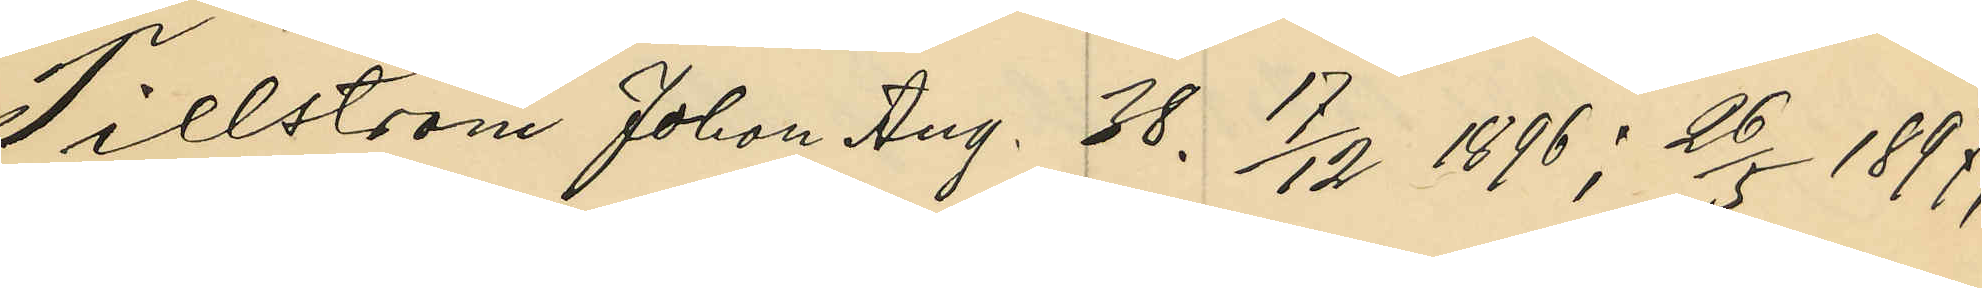Tillström Johan Aug. 38 17/12 1896; 26/5 1897;
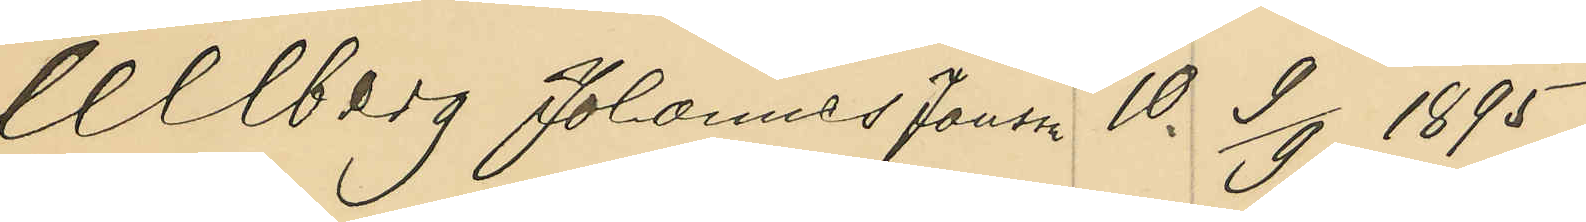Ullberg Johannes Jansson 10. 9/9 1895;
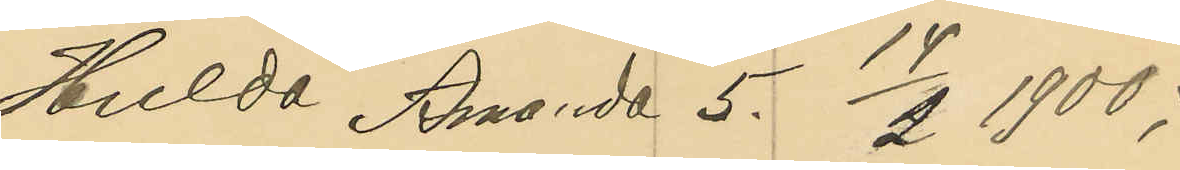Hulda Amanda 5. 14/2 1900;
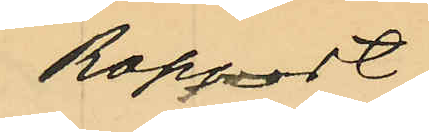Rapport
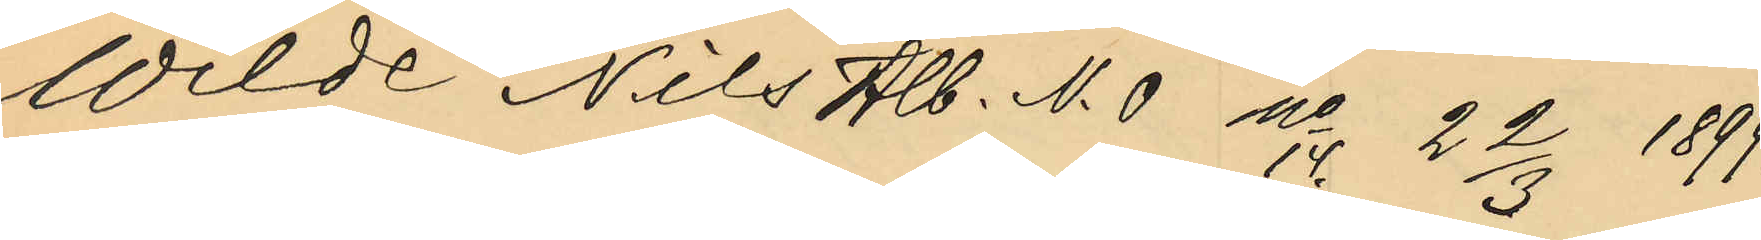Wilde Nils Alb. N. 0 No 14. 22/3 1899;
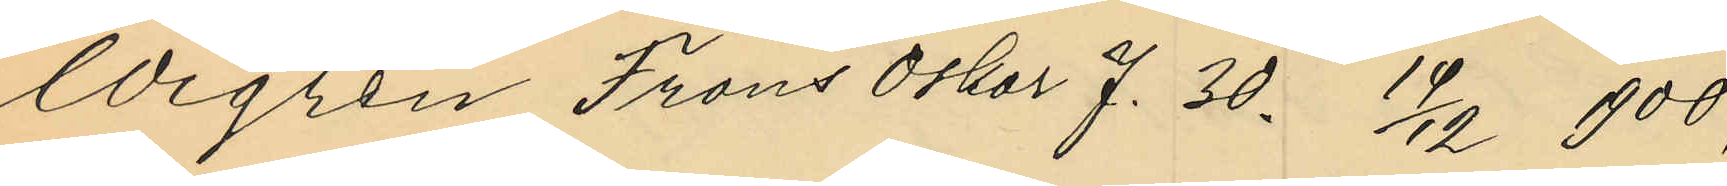Wigren Frans Oskar J. 30. 19/12 1900;
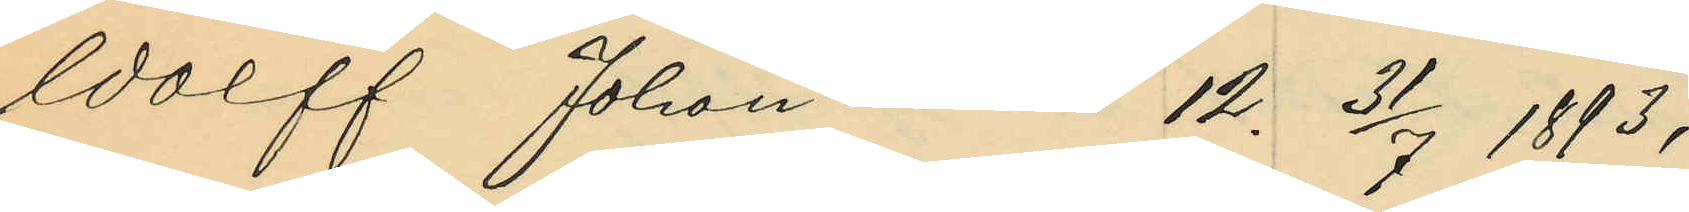Wolff Johan 12. 31/7 1893;
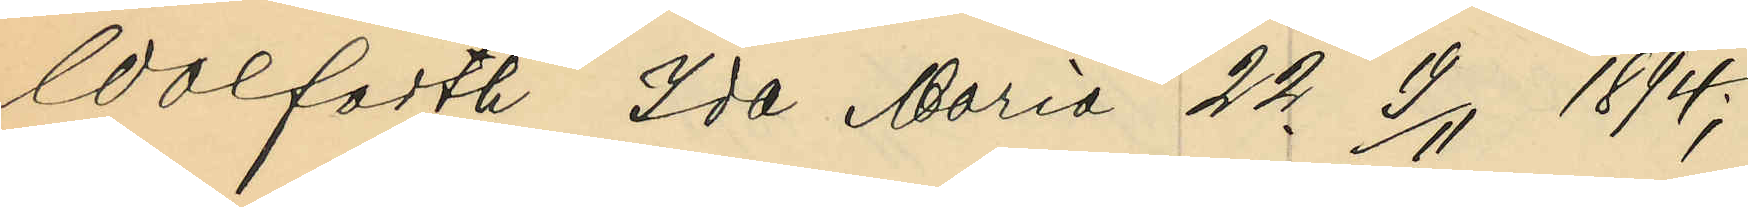Wolfarth Ida Maria 22. 19/11 1894;
